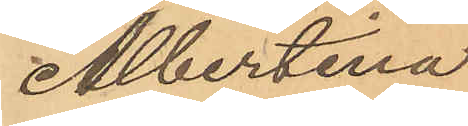Albertina
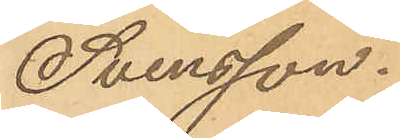Svensson.
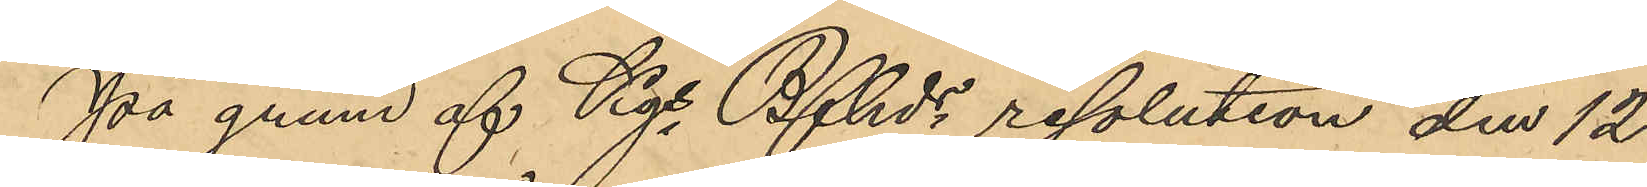På grund af Kgs Bfhds resolution den 12
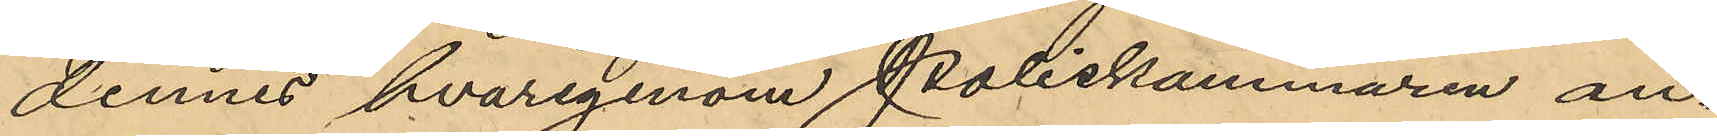dennes hvarigenom Poliskammaren an¬
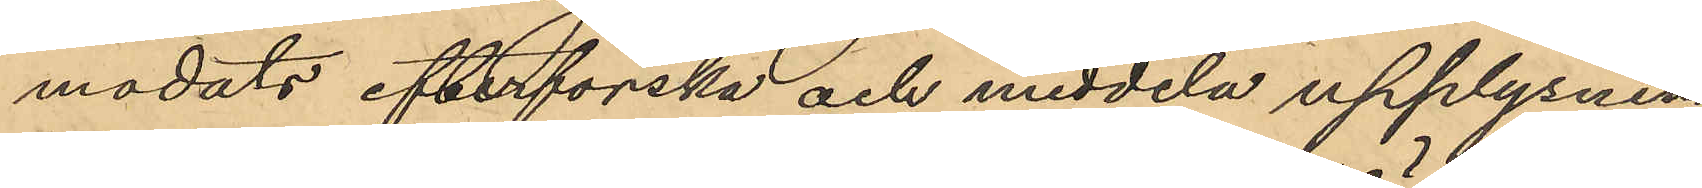modats efterforska och meddela upplysning 
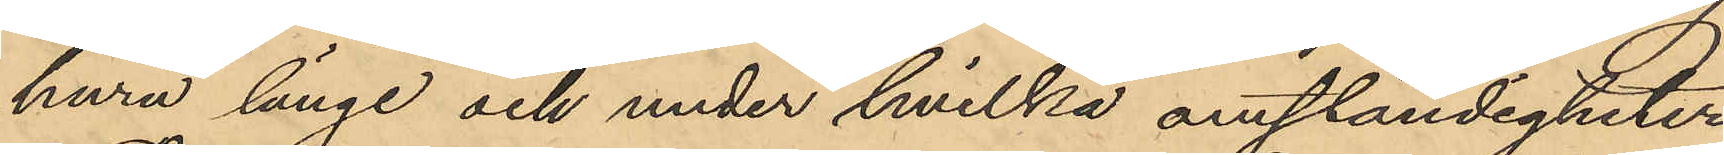huru länge och under hvilka omständigheter
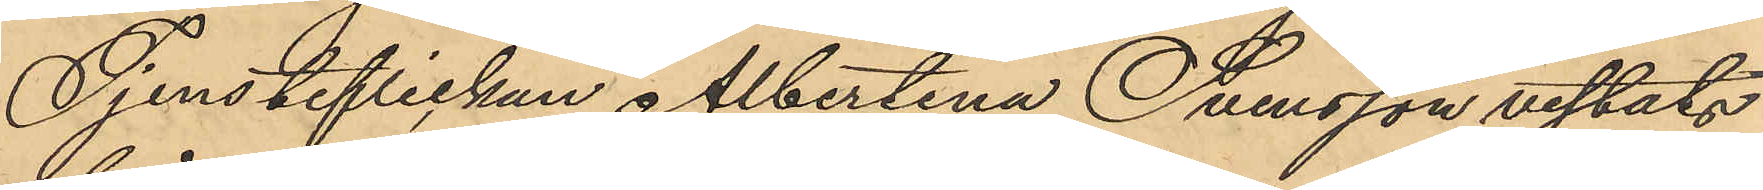Tjensteflickan Albertina Svensson vistats
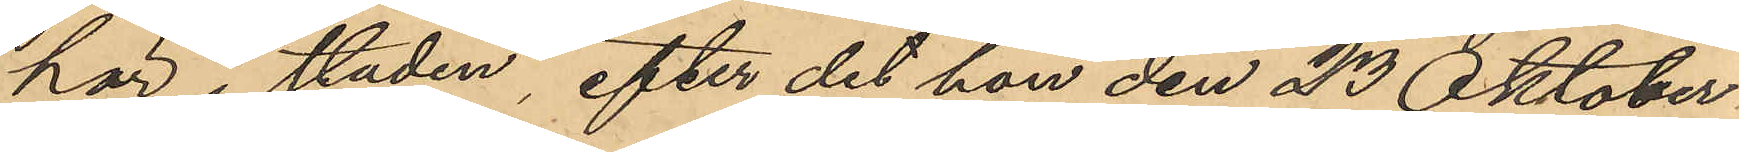här i staden, efter det hon den 23 Oktober
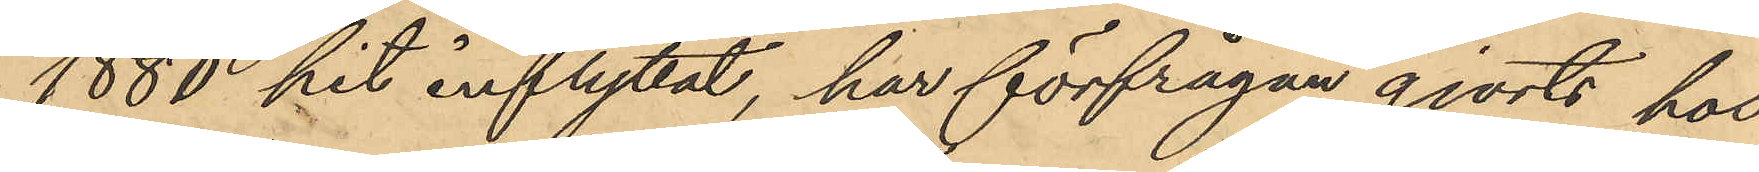1880 hit inflyttat, har förfrågan gjorts hos
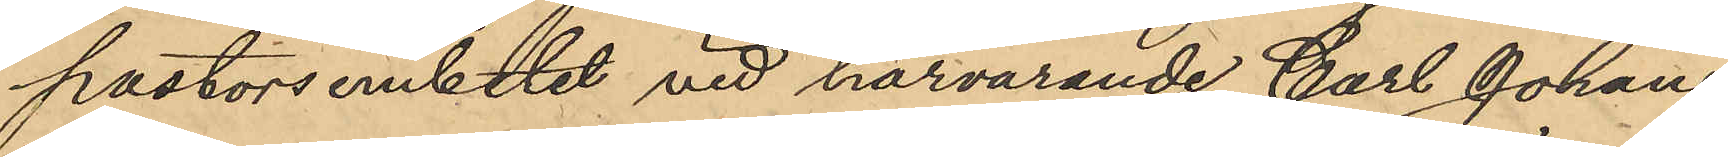postorsembetet vid härvarande Carl Johans 
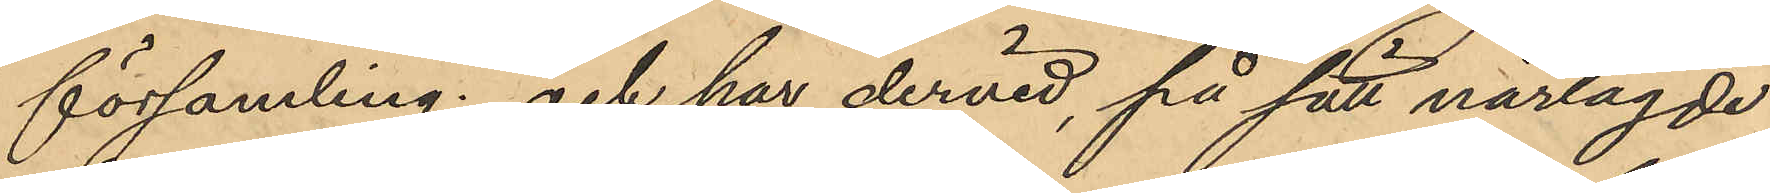församling; och har dervid, på sätt närlagde
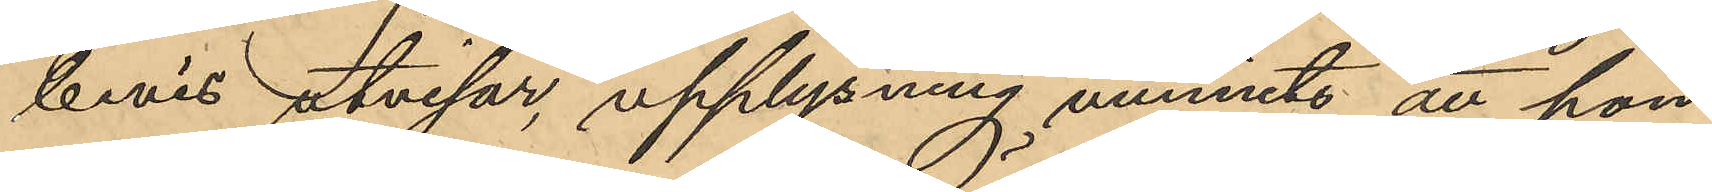bevis utvisar, upplysning vunnits att hon
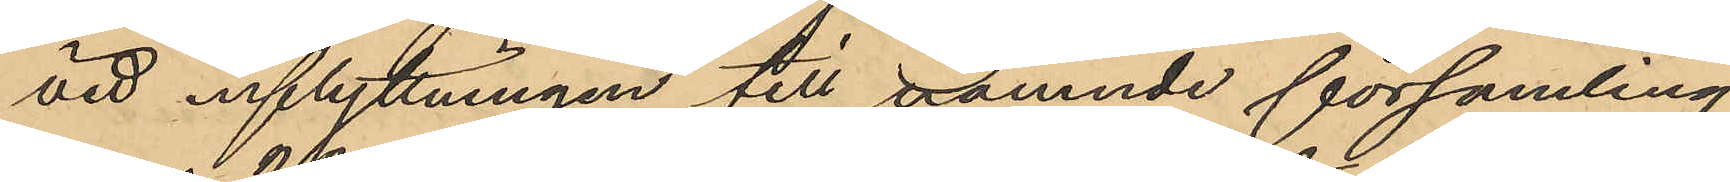vid inflyttningen till nämnde församling.
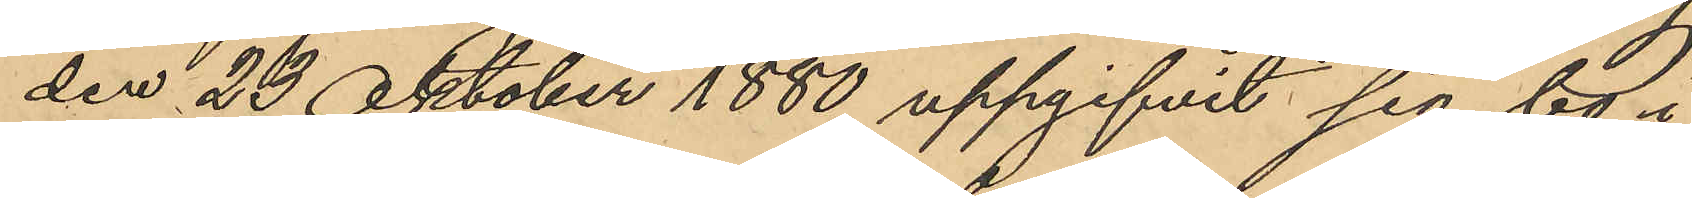den 20 Oktober 1880 uppgifvit sig bo i
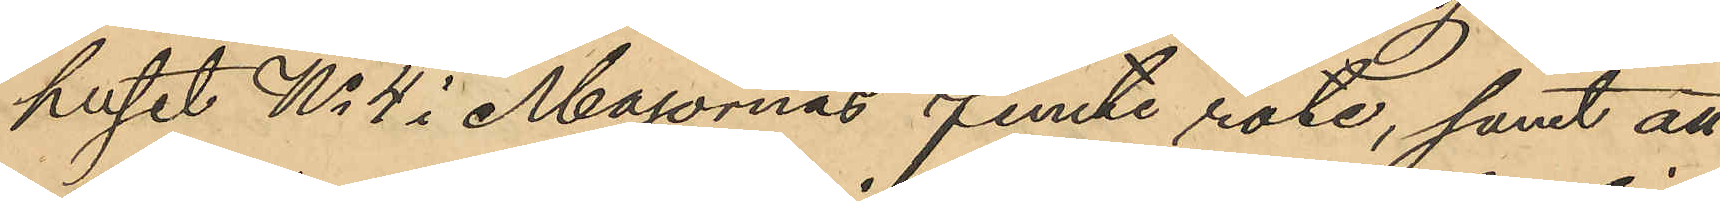huset No 4 i Majornas femte rote, samt att
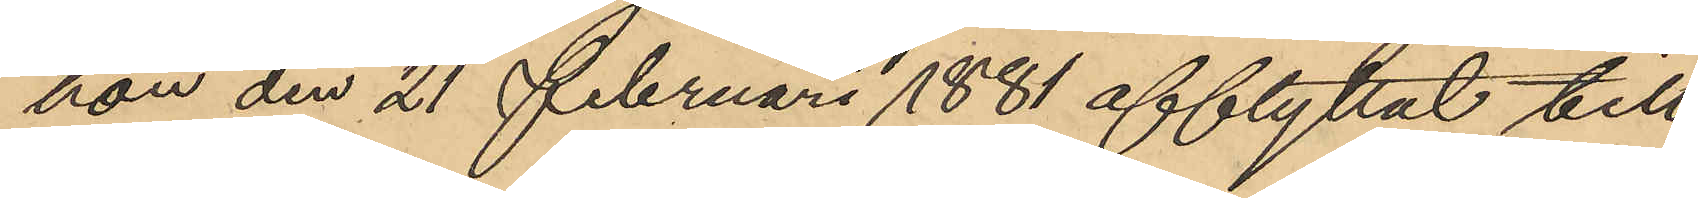hon den 21 Februari 1881 afflyttat till
